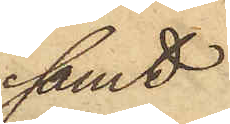samt
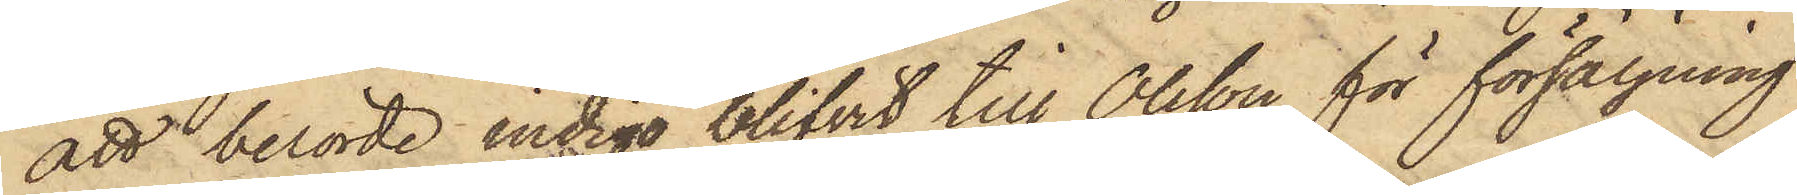att berörde indigo blifvit till Olsson för försäljning
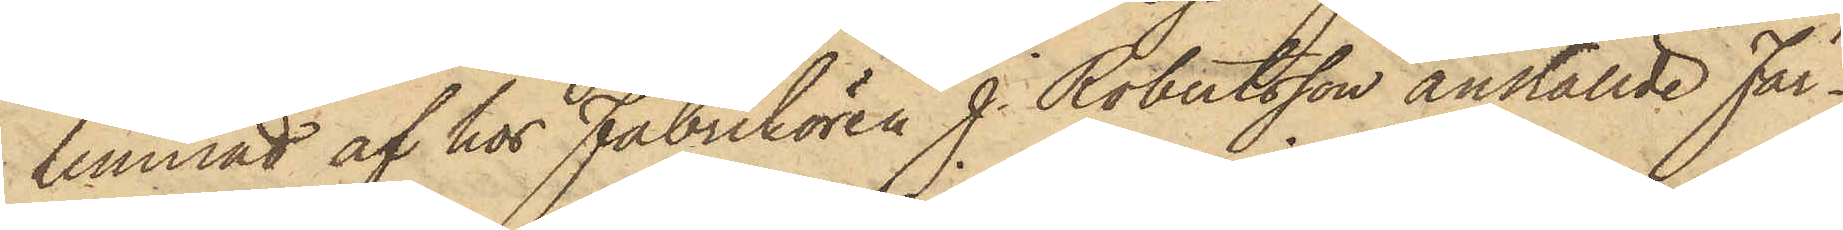lemnad af hos Fabrikören J. Robertsson anställde Fär¬
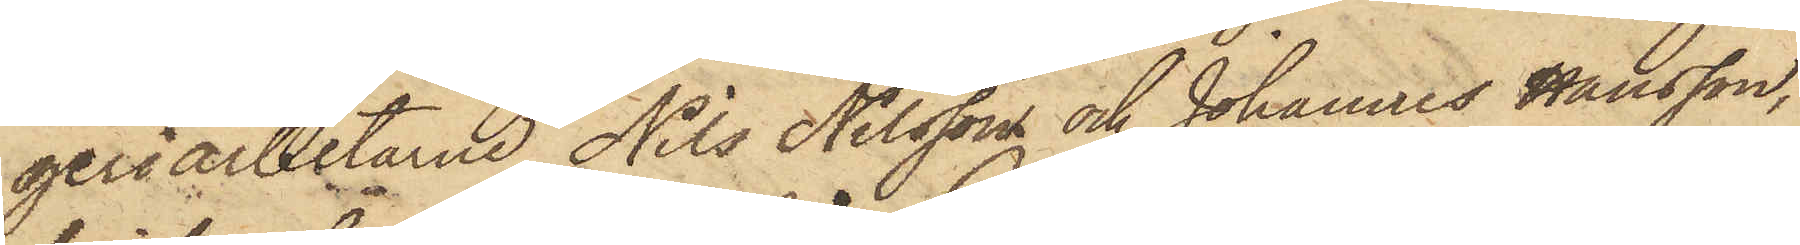geriarbetarne Nils Nilsson och Johannes Hansson,
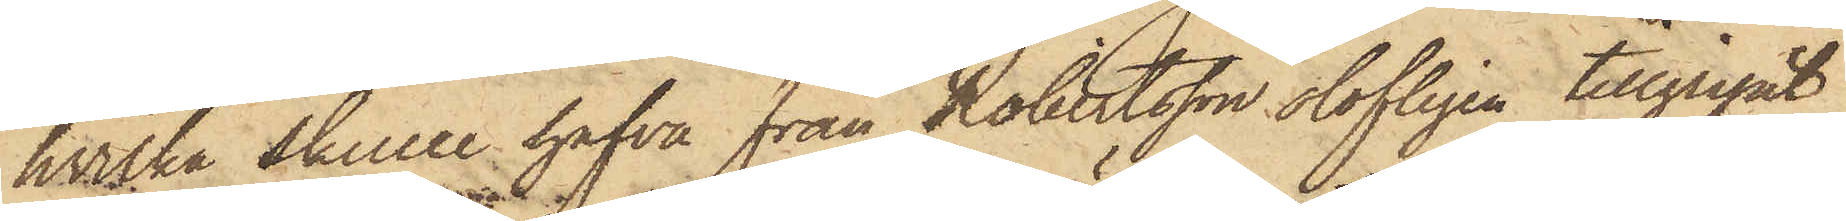hvilka skulle hafva från Robertsson olofligen tillgripit
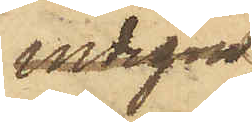indigon
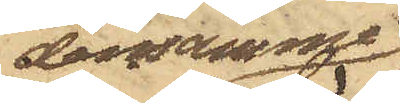densamme;
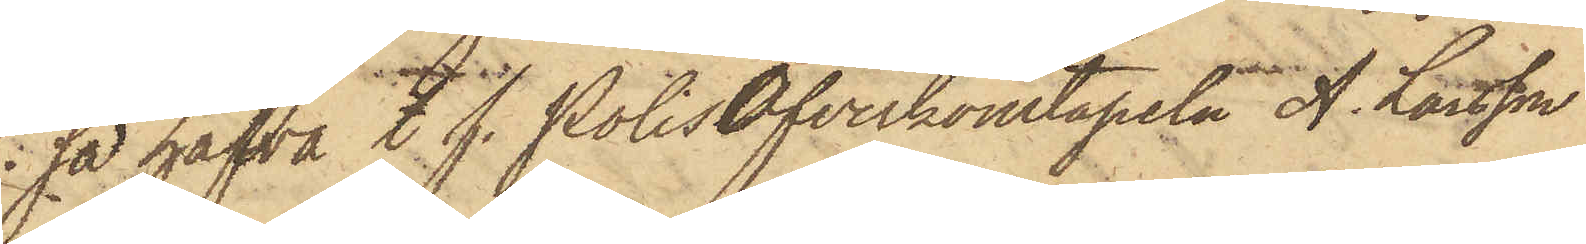så hafva t. f. PolisÖfverkonstapeln A. Larsson
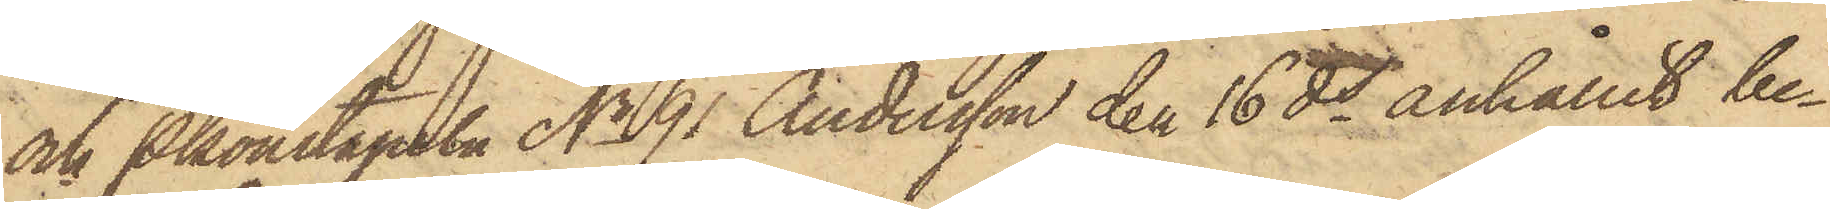och Pkonstapeln No 91 Andersson den 16 ds anhållit be¬
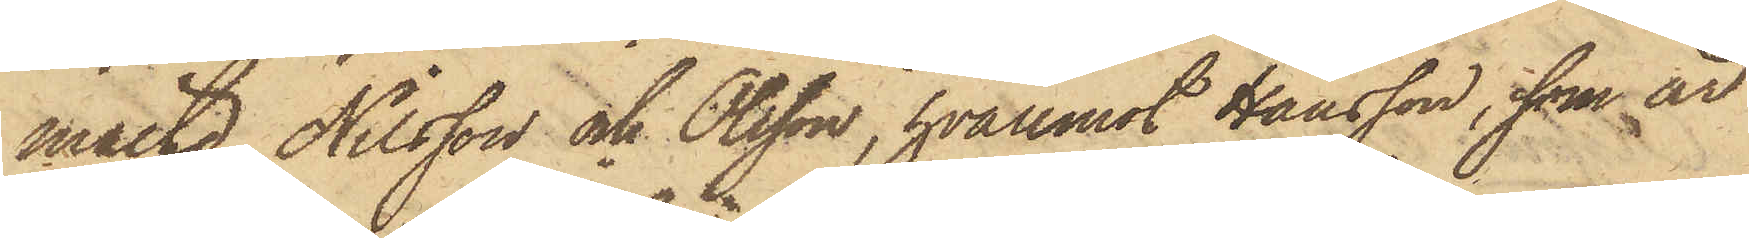mälte Nilsson och Olsson, hvaremot Hansson, som är
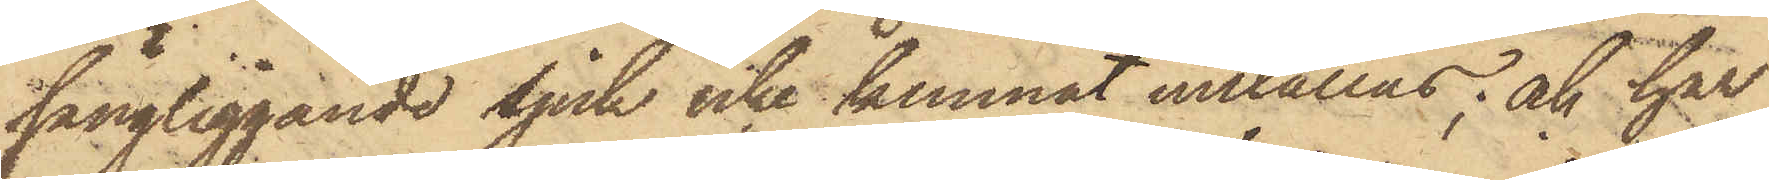sängliggande sjuk icke kunnat inställas; och har
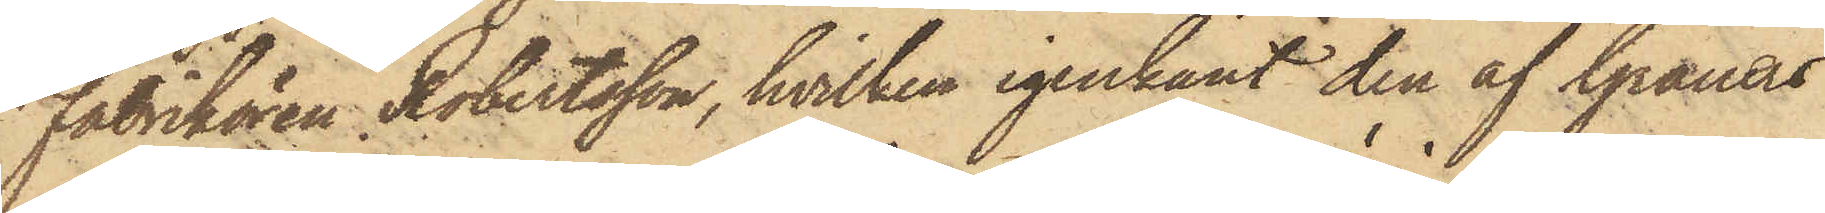Fabrikören Robertsson, hvilken igenkänt den af Grauers
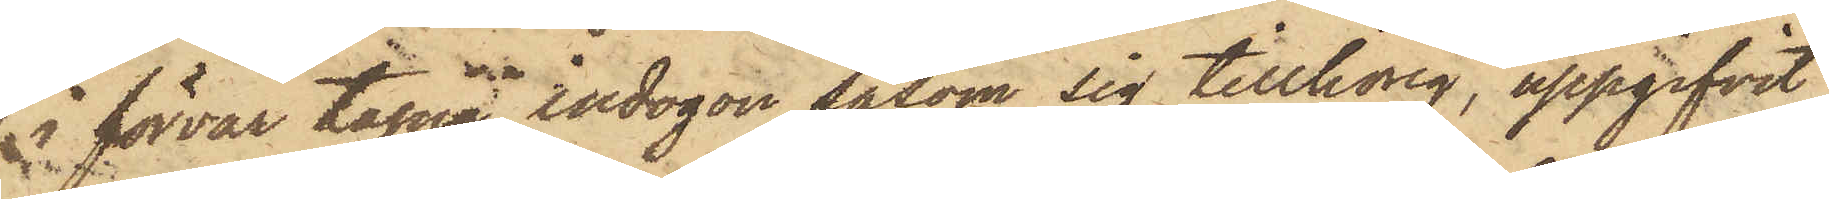i förvar tagna indigon såsom sig tillhörig, uppgifvit,
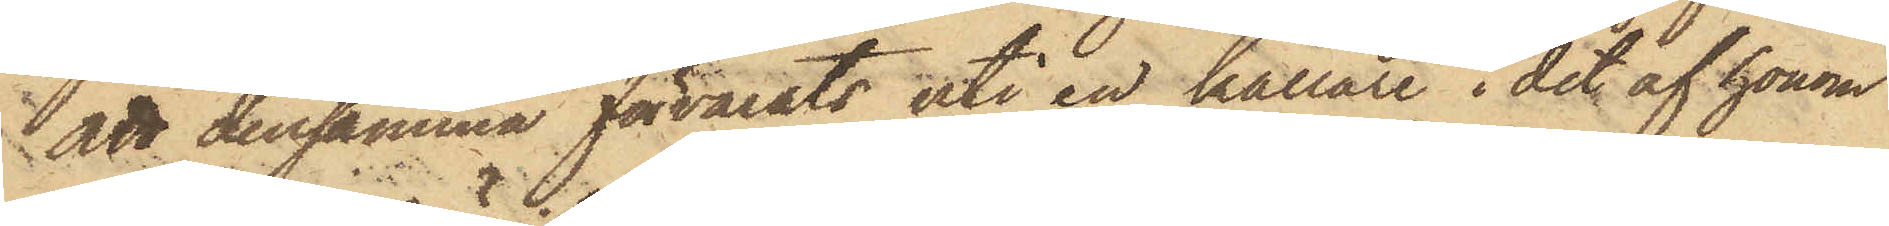att densamma förvarats uti en källare i det af honom
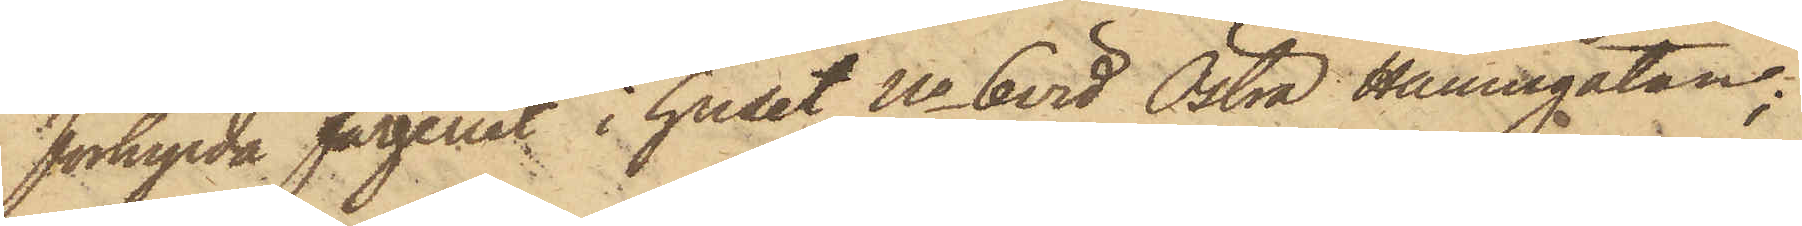förhyrda färgeriet i huset No 6 vid Östra Hamngatan;
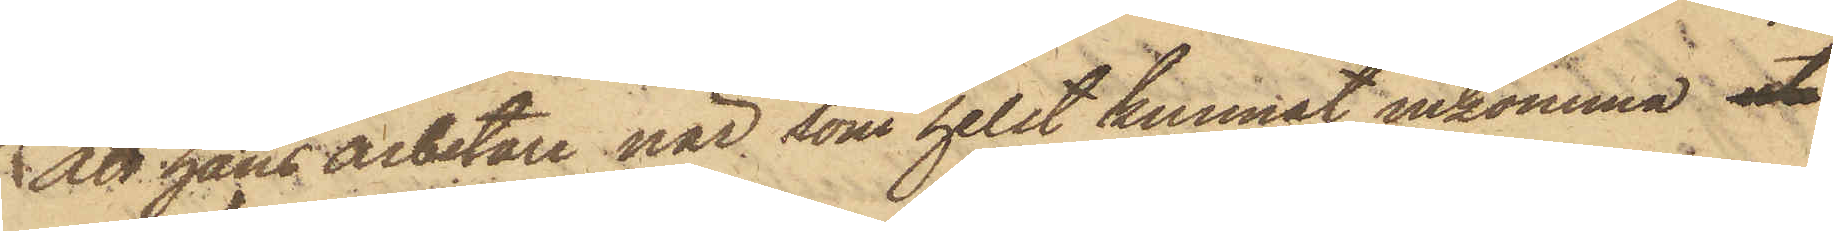att hans arbetare när som helst kunnat inkomma uti
